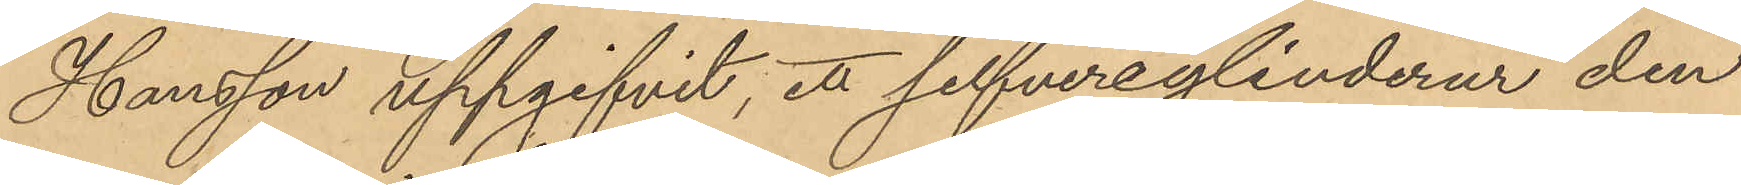Hansson uppgifvit, ett silfvercylinderur den
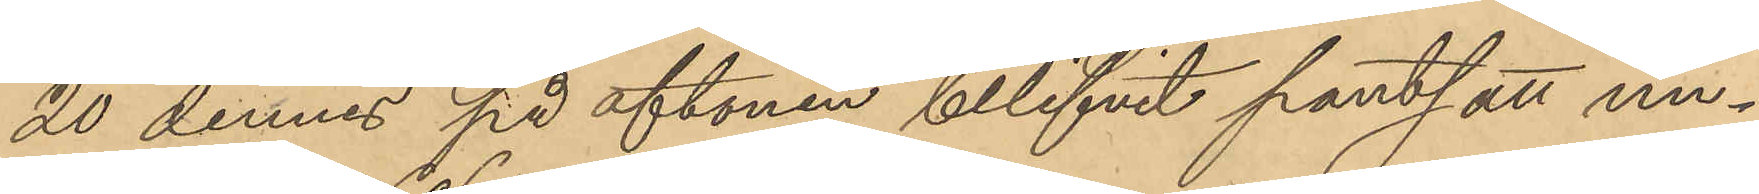20 dennes på aftonen blifvit pantsatt un¬
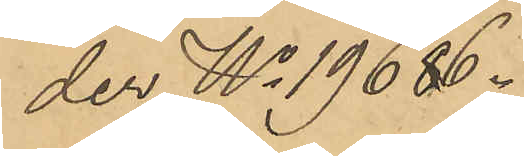der No 19686.
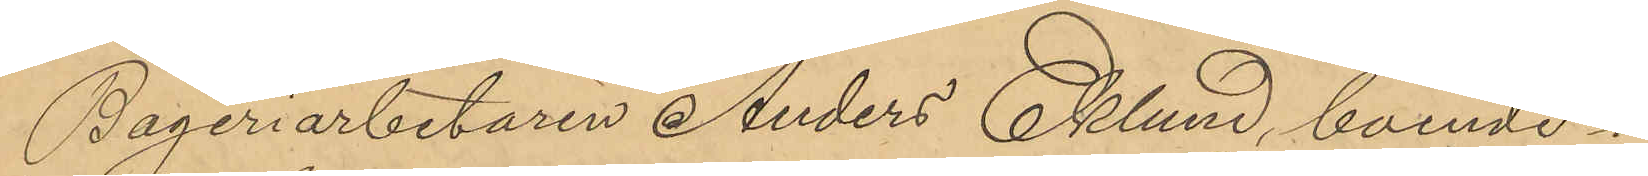Bageriarbetaren Anders Eklund, boende i
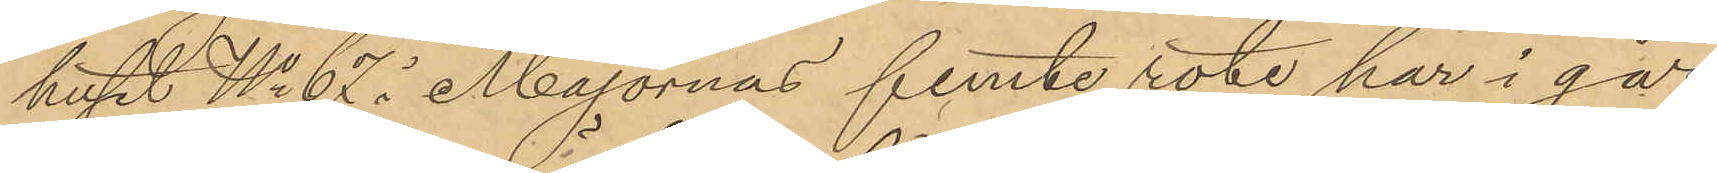huset No 62 i Majornas femte rote har i går
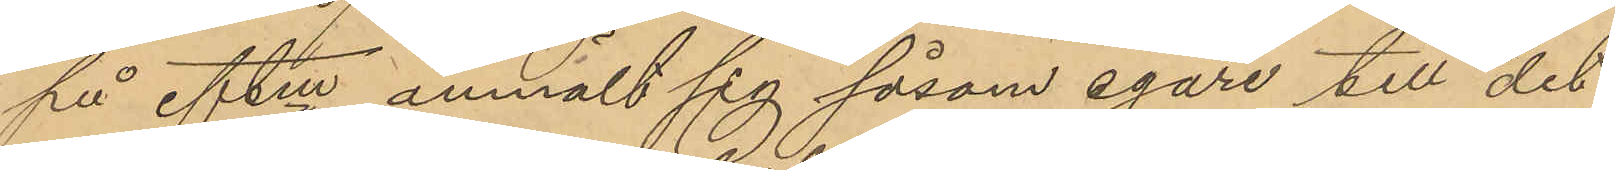på eftm anmält sig såsom egare till det
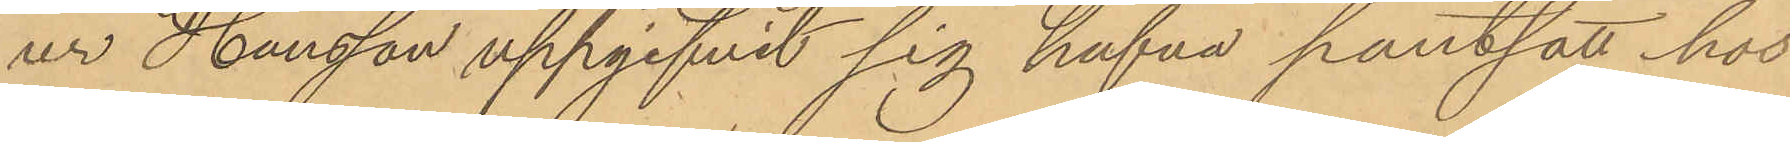ur Hansson uppgifvit sig hafva pantsatt hos
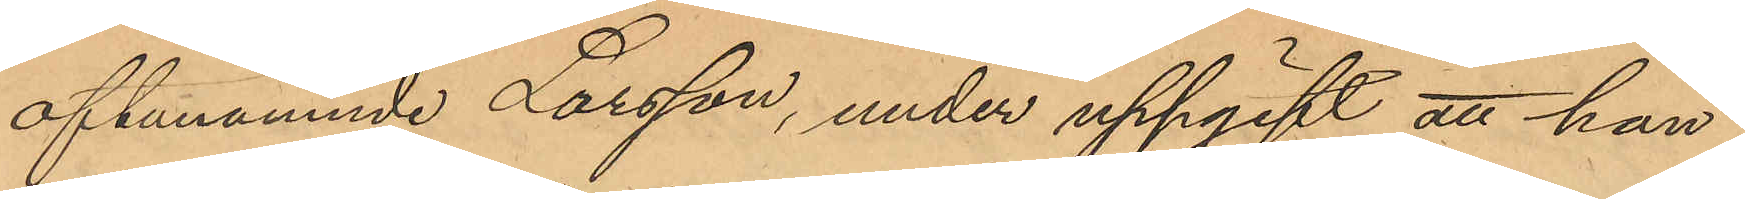oftanämnde Larsson, under uppgift att han
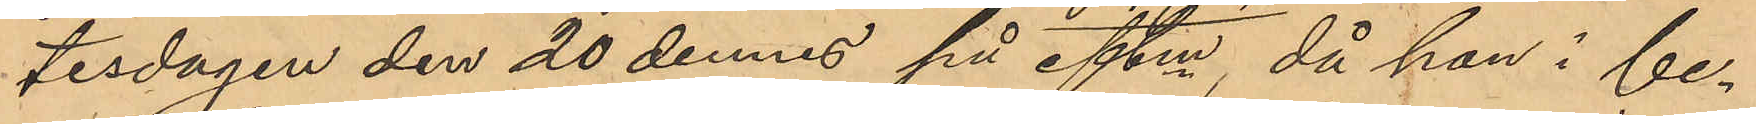tisdagen den 20 dennes på eftm, då han i be¬
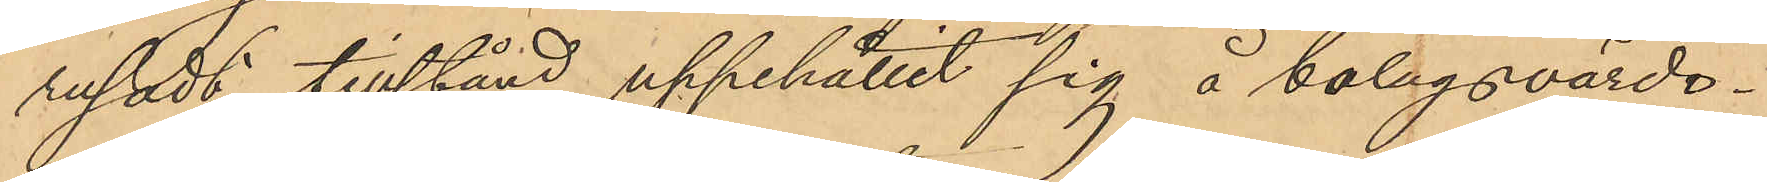rusadt tillstånd uppehållit sig å bolagsvärds¬
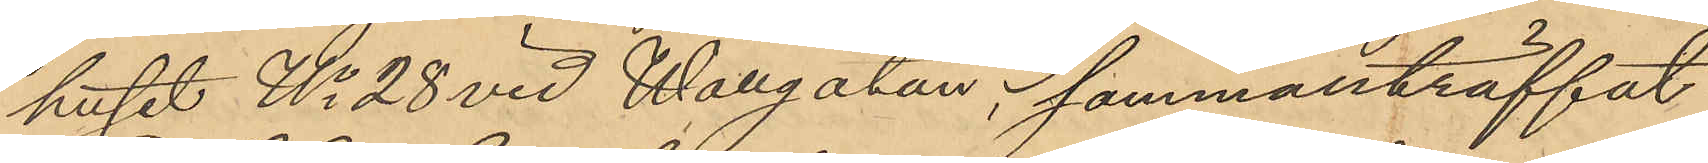huset No 28 vid Wallgatan, sammanträffat
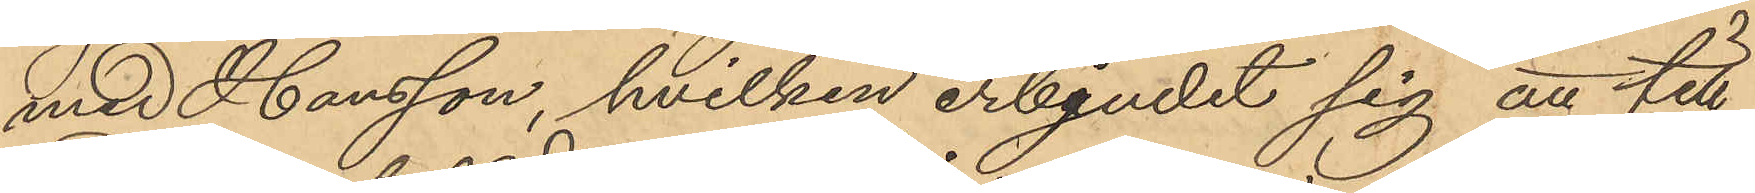med Hansson, hvilken erbjudit sig att till
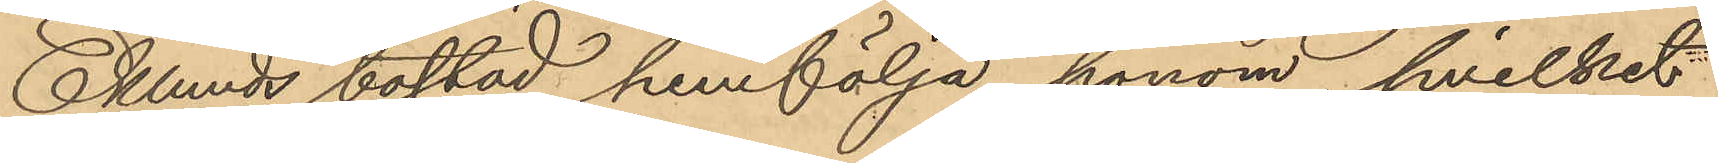Eklunds bostad hemfölja honom, hvilket
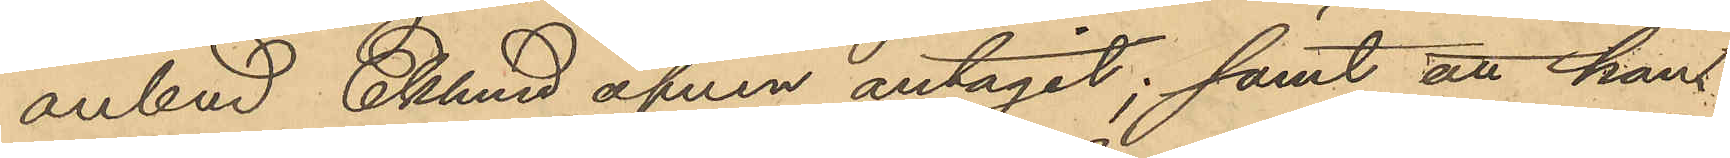anbud Eklund äfven antagit; samt att han 
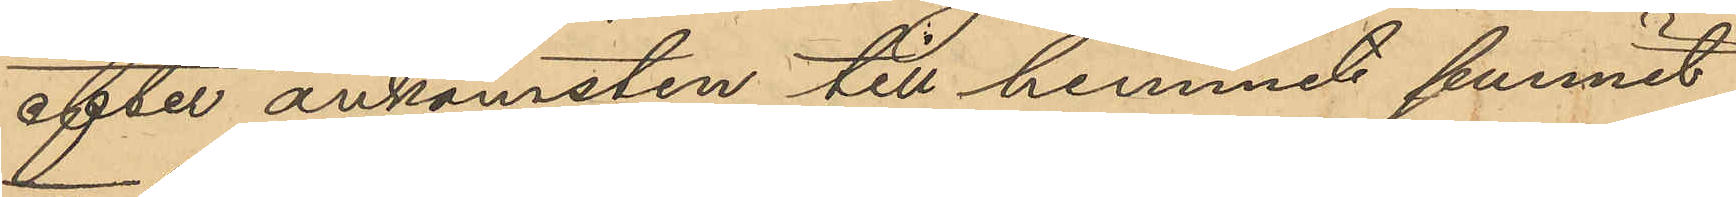efter ankomsten till hemmet funnit
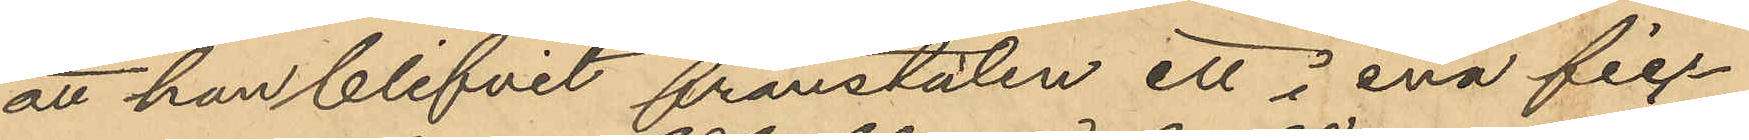att han blifvit frånstulen ett i ena fic-
